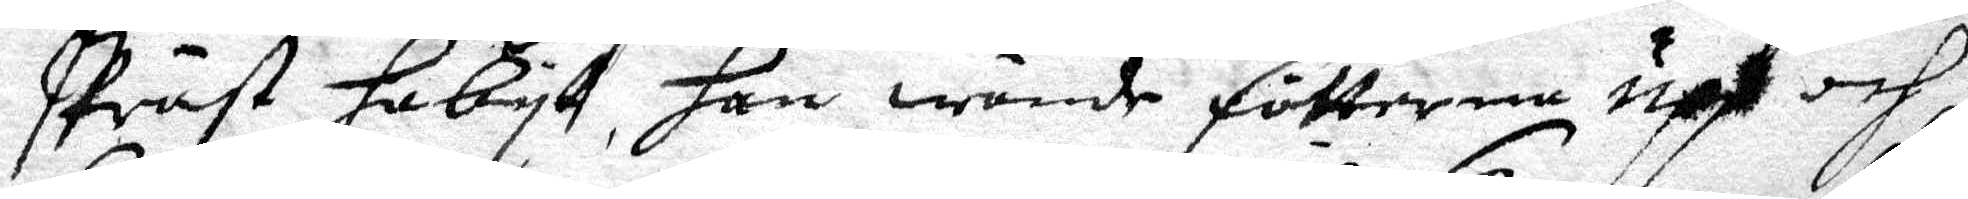Präst habyt, han wände fötterna upp och
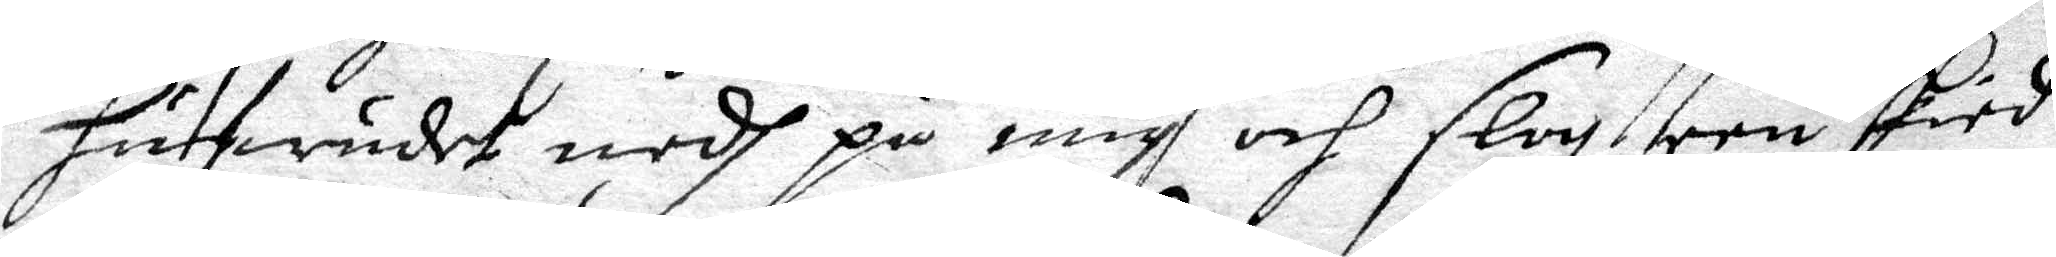hufwudet nedh på mig och slog een skied
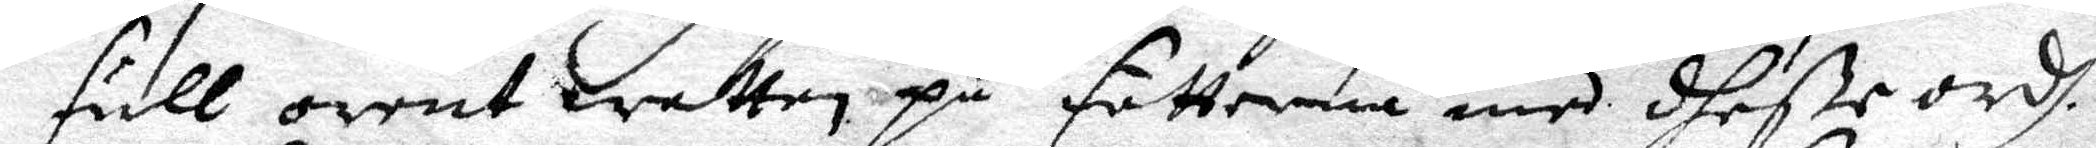full orent watten på fötterna med dheße ordh.
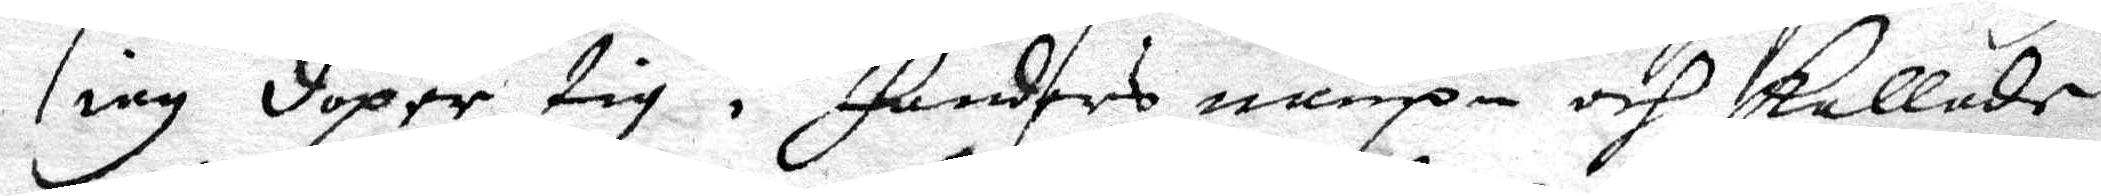iag döper tig i fanders nampn och kallade
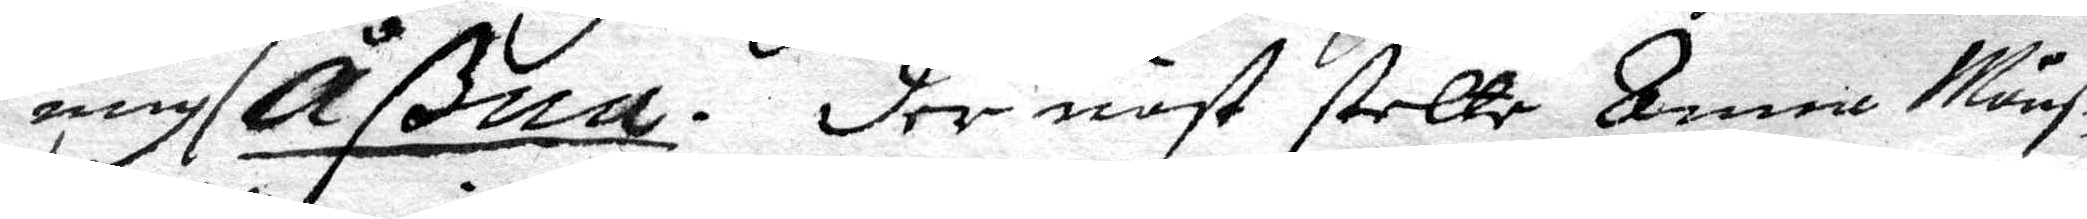mig Åßna. der näst stelte Anna Månß¬ 
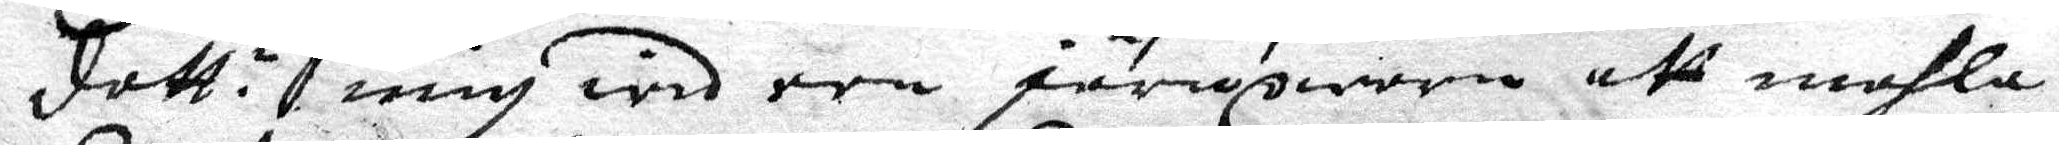dott:r mig wid een järnqwarn att mahla 
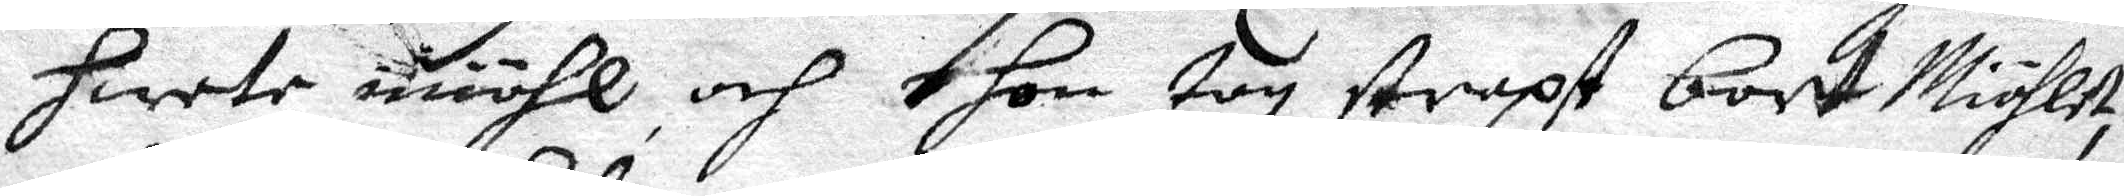hwete miöhl och hon tog straxt bort Miöhlet,
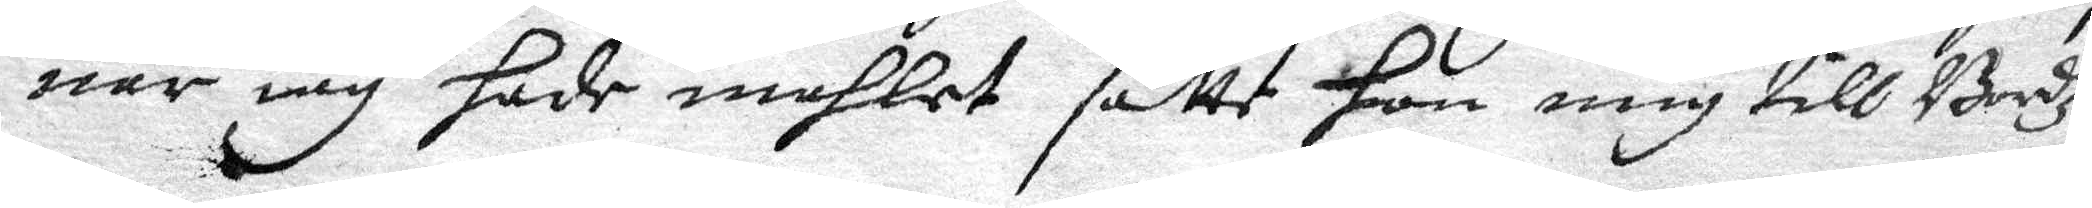när iag hade mahlet satte hon mig till Bordz
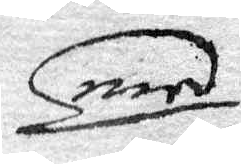med
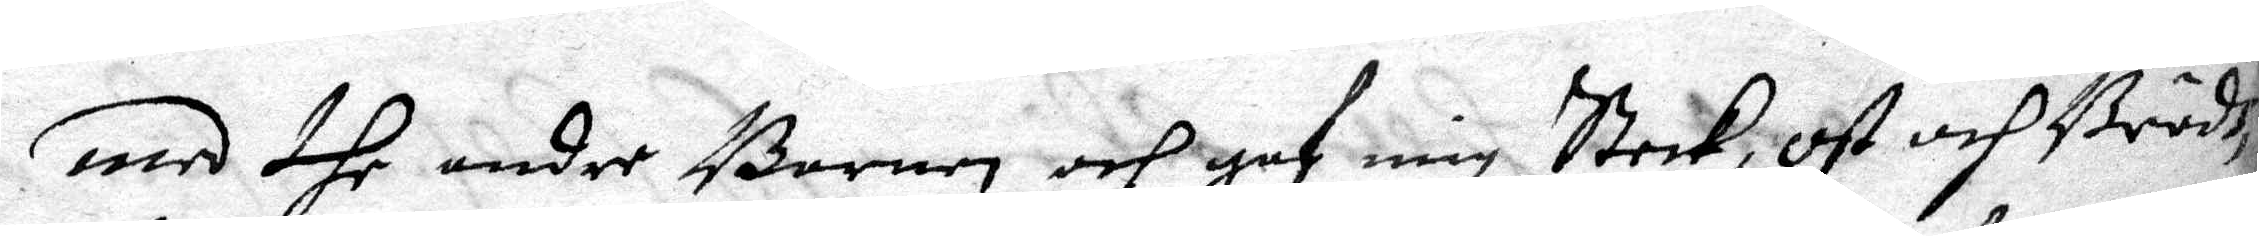med dhe andre Barnen och gaf mig Steek, ost och Brödh
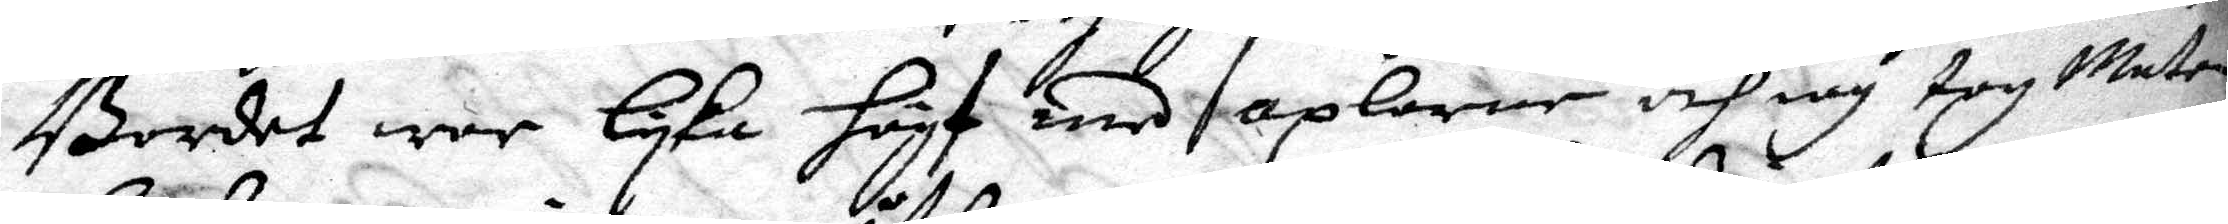Bordet war lyka högt med axlarne och iag tog Maten
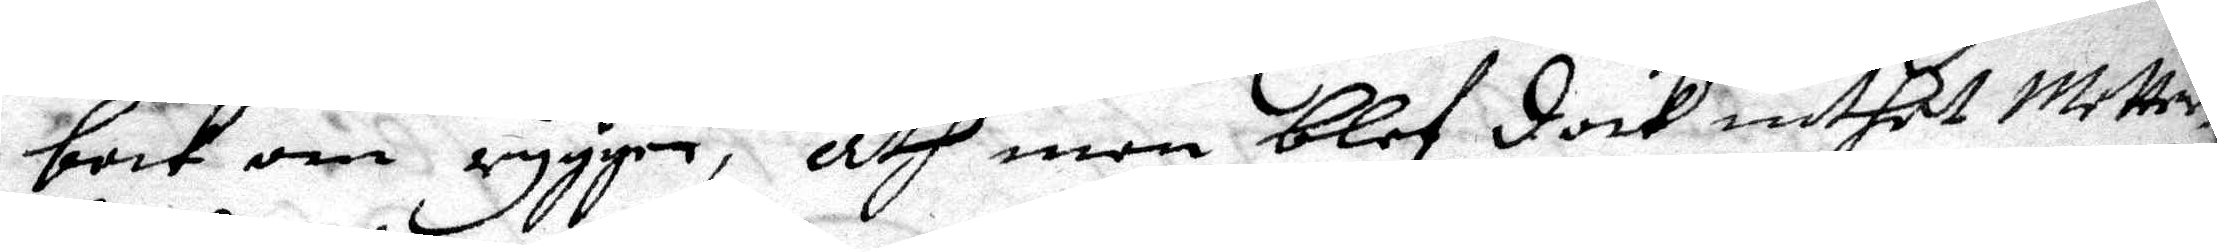bort om ryggen, åth men blef dock inthet Metter.
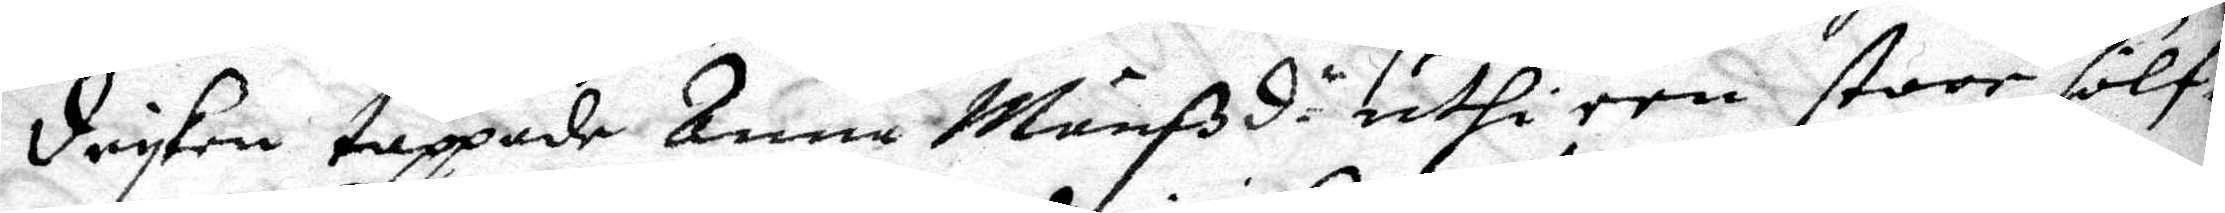dryken tappade Anna Månßd.r uthi een stoor sölf¬ 
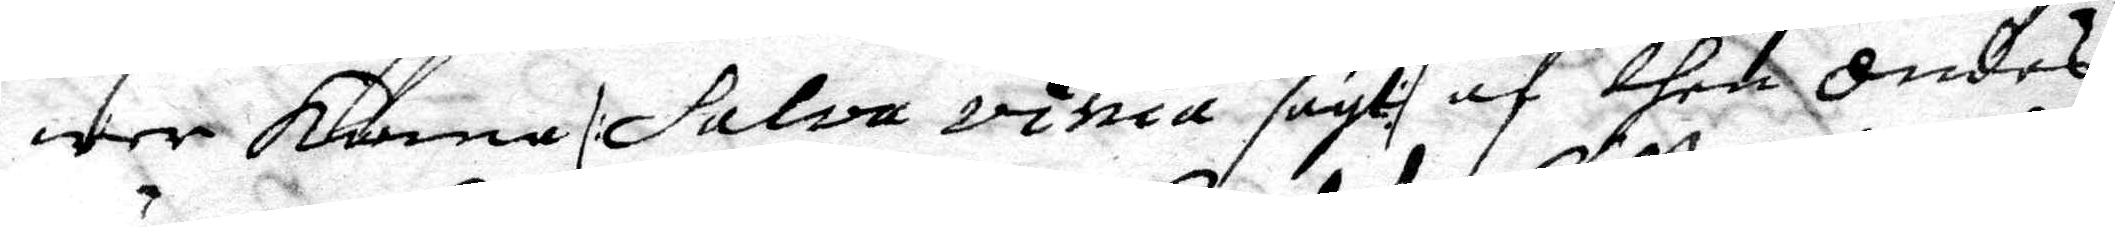wer kanna /:Salva vinia sagt:/ af then ondes
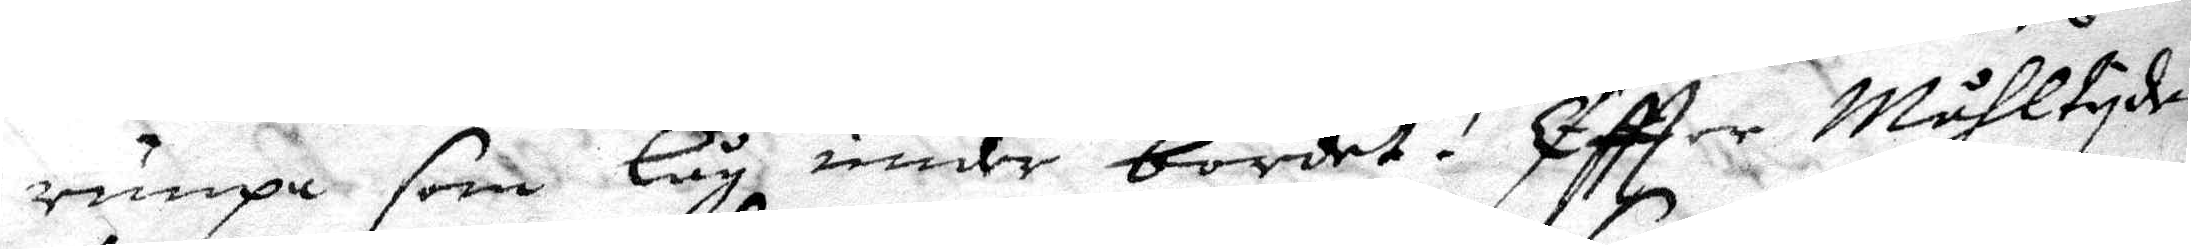rumpa som låg under bordet. Eftter Måhltyden
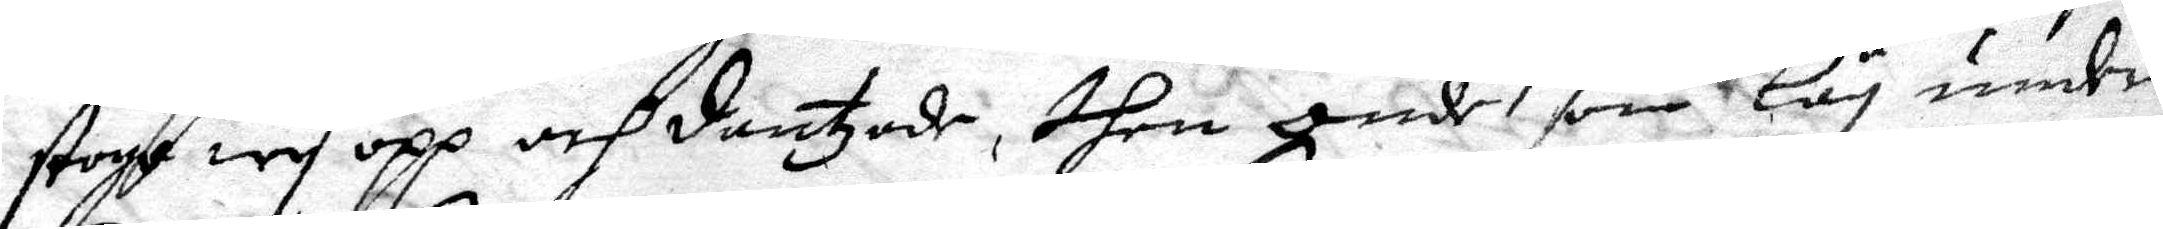stoge wy opp och dantzade, then onde som låg under
